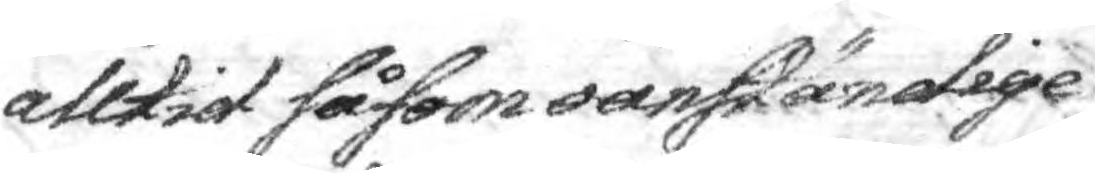alltid såsom oanständige
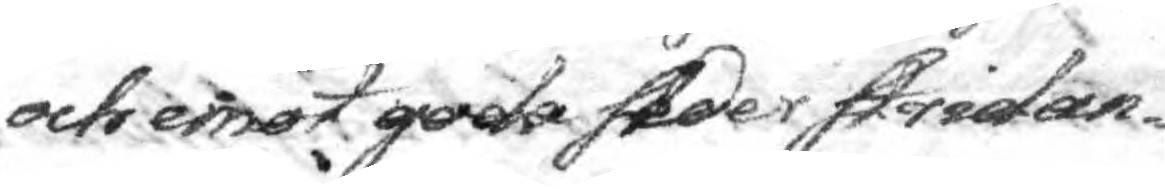och emot goda seder stridan¬
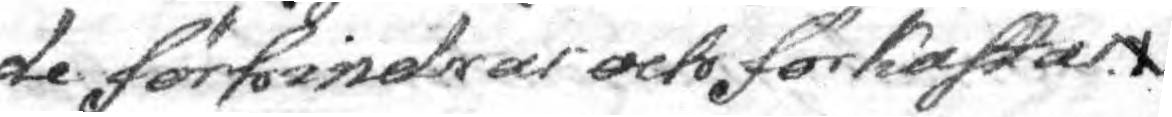de förhindras och förkastas
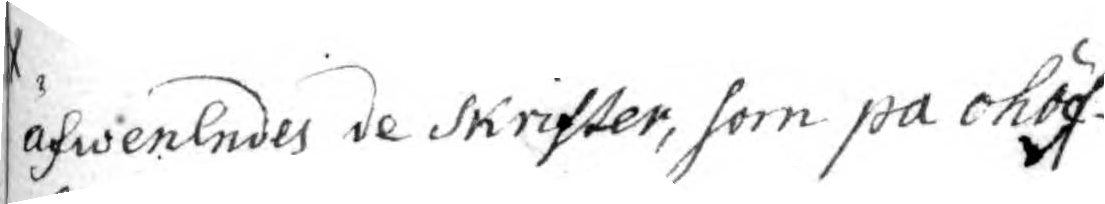äfwenlndes de Skrister, som på ohöf¬.
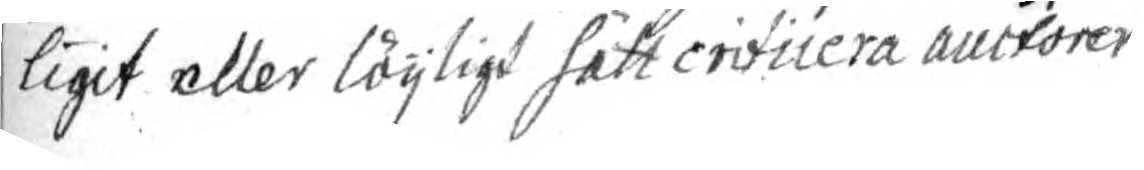ligit eller löijligt sätt criticera auctorer.
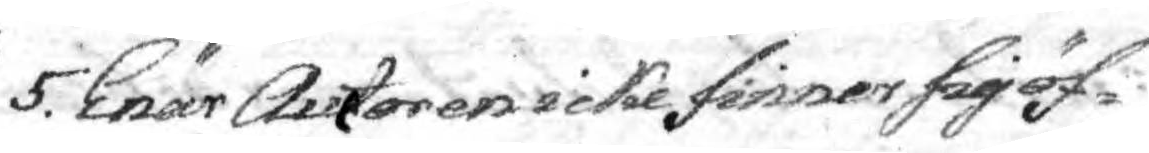5. Enär Auctoren icke finner sig öf¬
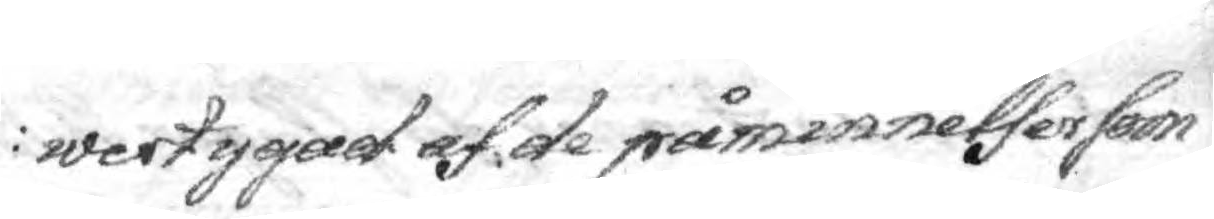wertygad af de påminnelser som
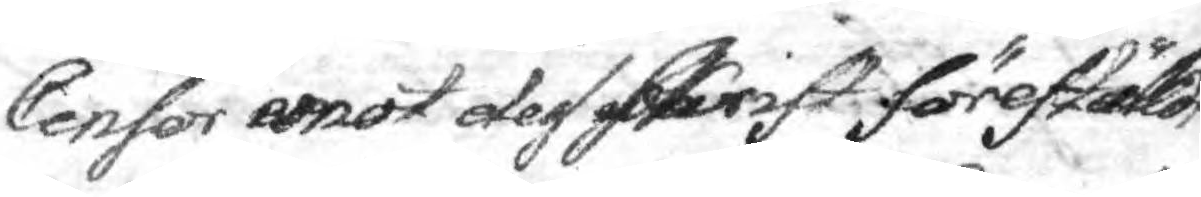Censor emo dess Skrift föreställd
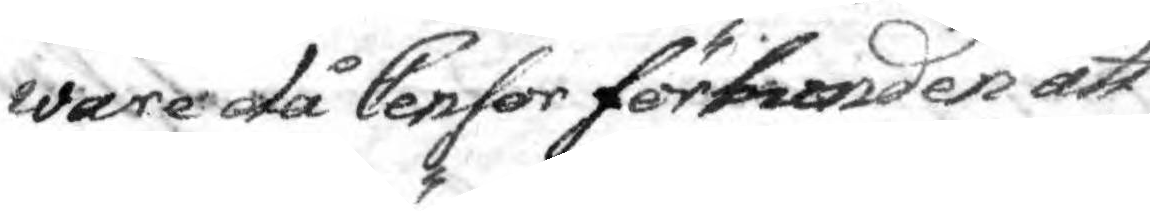ware då Censor förbunden att
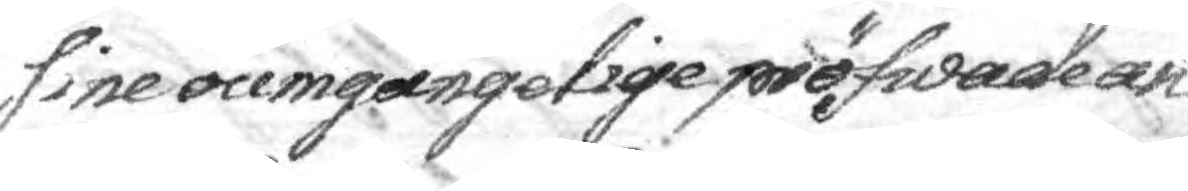sine oumgängelige pröfwade an¬
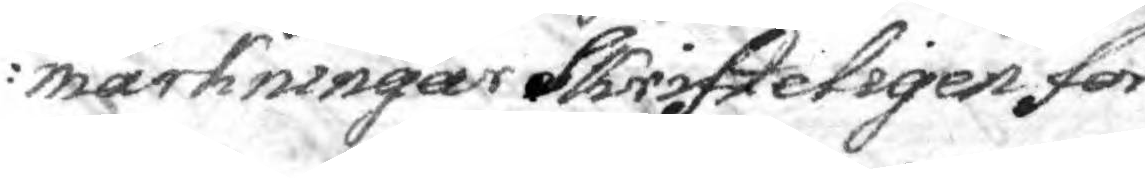märkningar Skrifteligen för¬
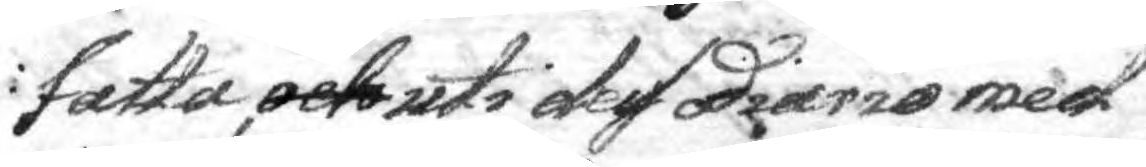fatta, och uti dess diario med
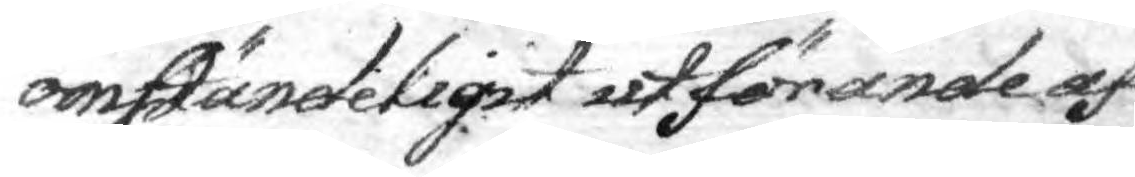omständeligit utförande af
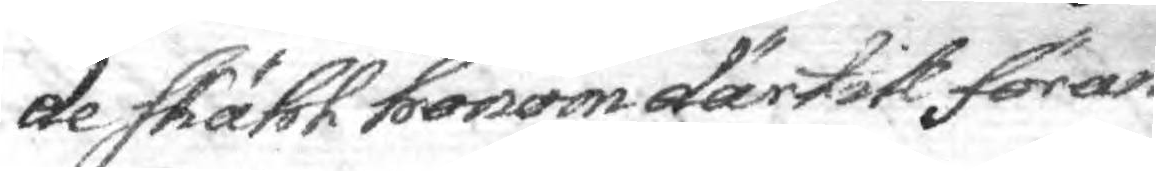de skähl honom därtil föran¬
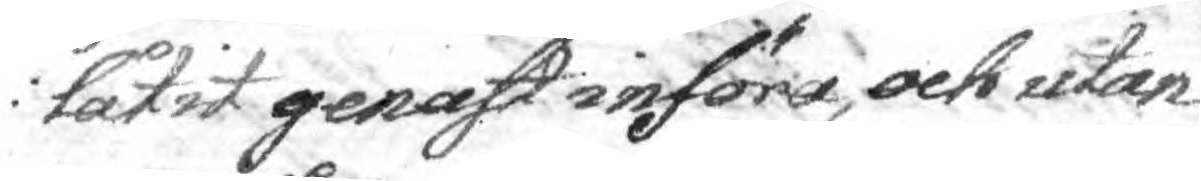låtit genast införa, och utan
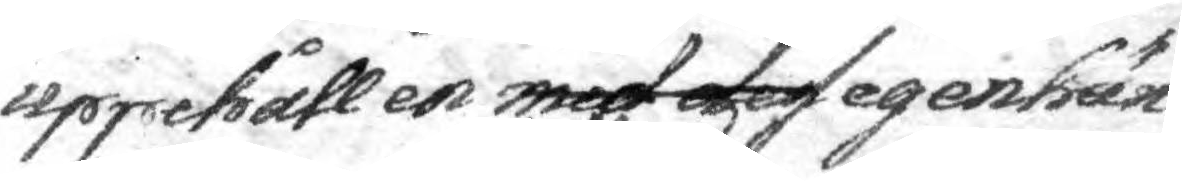uppehåll en med dess egenhän¬
